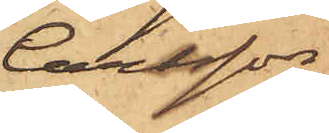Carlsson
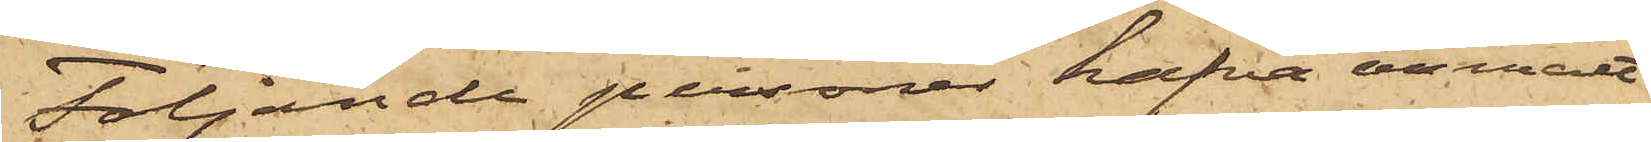Följande personer hafva anmält
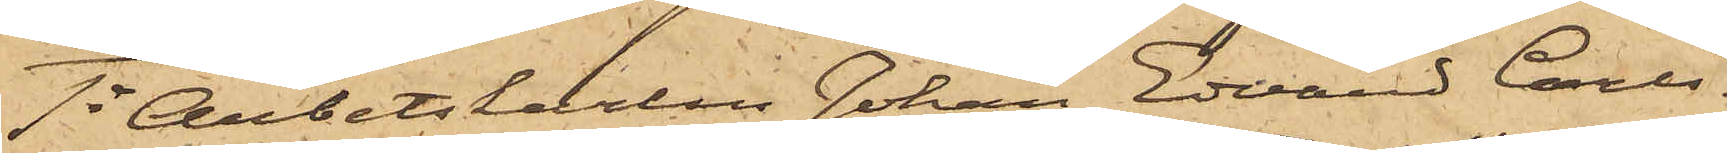1o Arbetskarlen Johan Edvard Carls¬
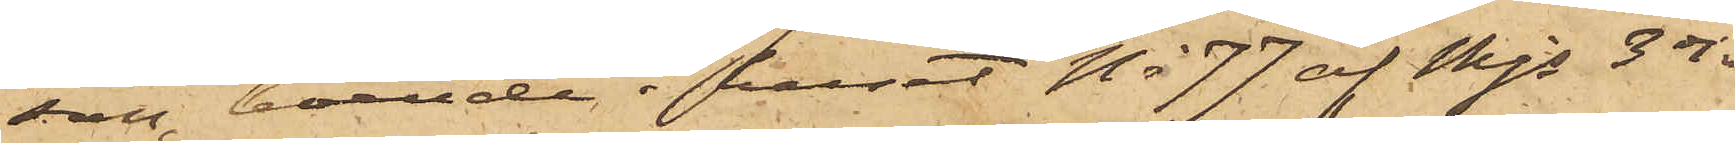son, boende i huset No 77 af Mjs 3 dje
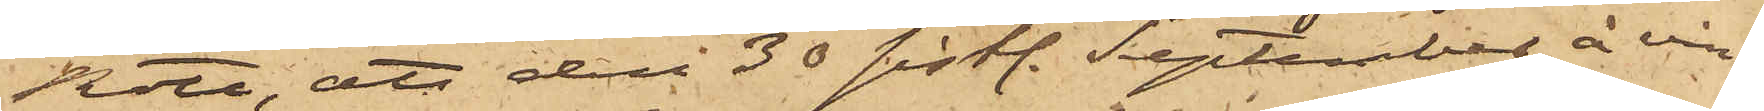Rote, att den 30 sist. September å vin¬
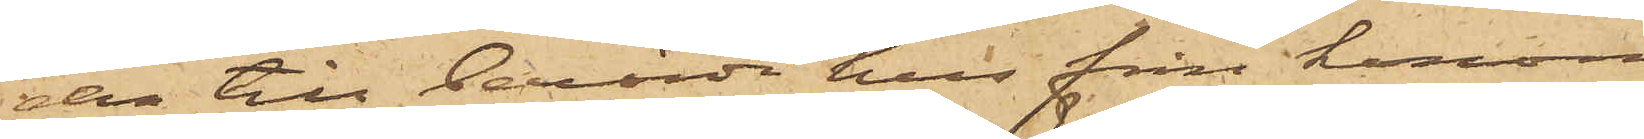den till berörde hus från honom
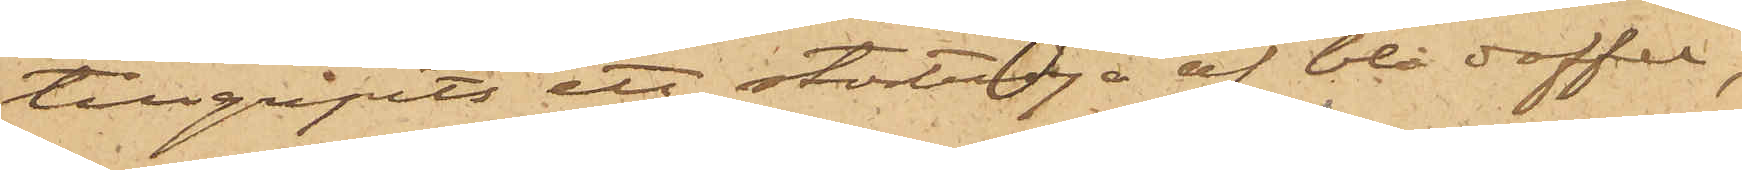tillgripits ett stortröja af blå doffel,
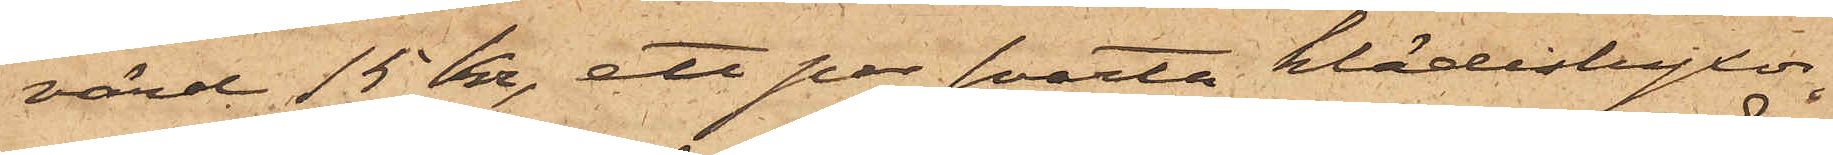värd 15 Kr, ett par svarta klädesbyxor,
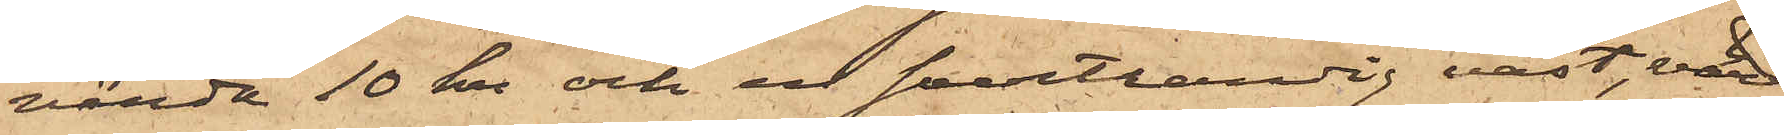värda 10 Kr och en svartrandig väst, värd
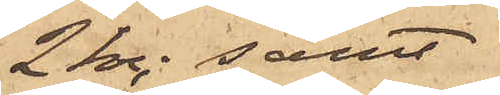2 Kr; samt
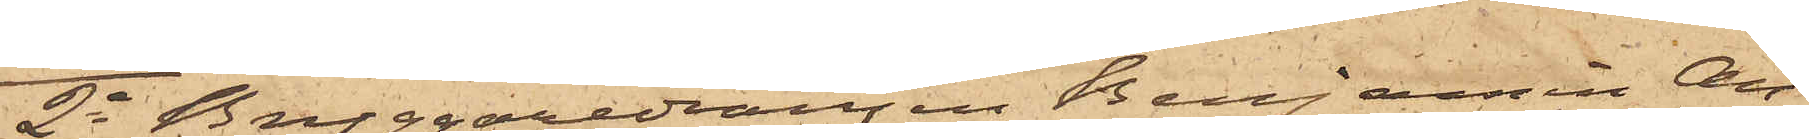2o Bryggaredrängen Benjamin An¬
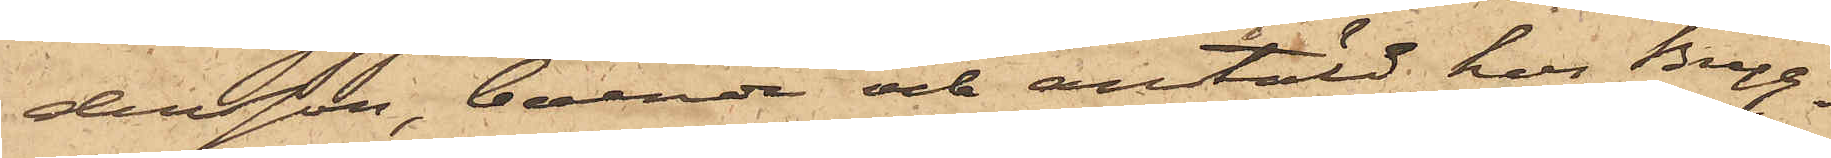dersson, boende och anstäld hos Bryg¬
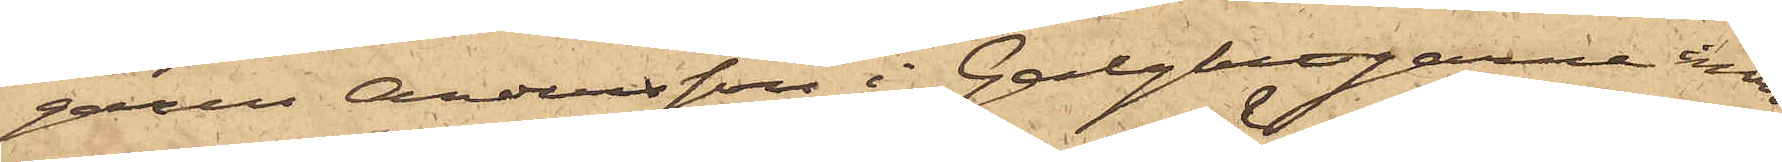garen Andersson i Galgkrogarna inom
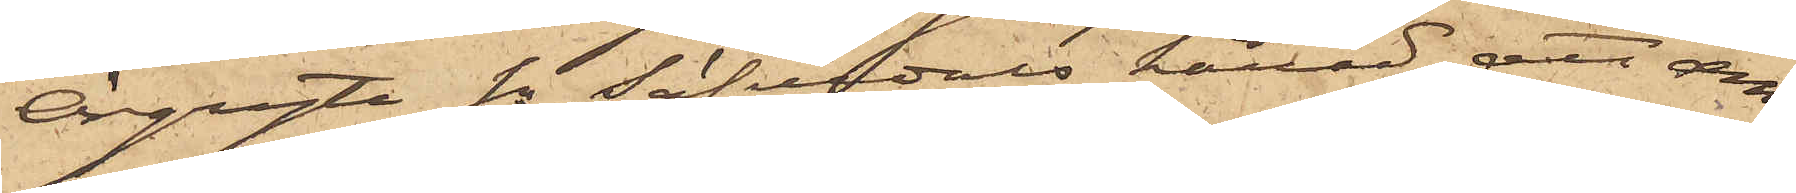Örgryte sn Säfvedals härad, att den
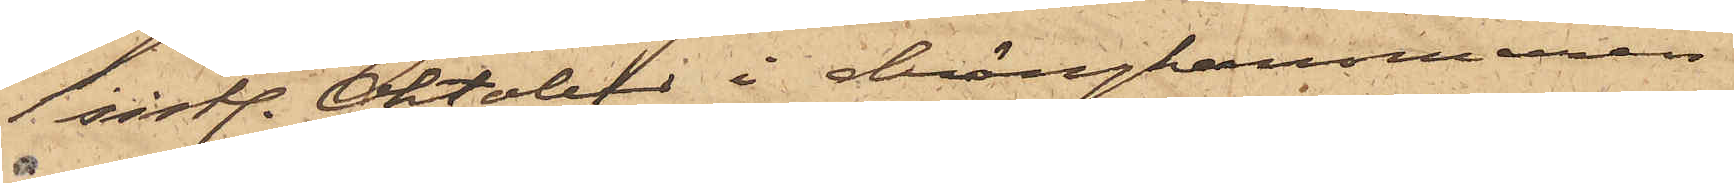1 sist. Oktober i drängkammaren
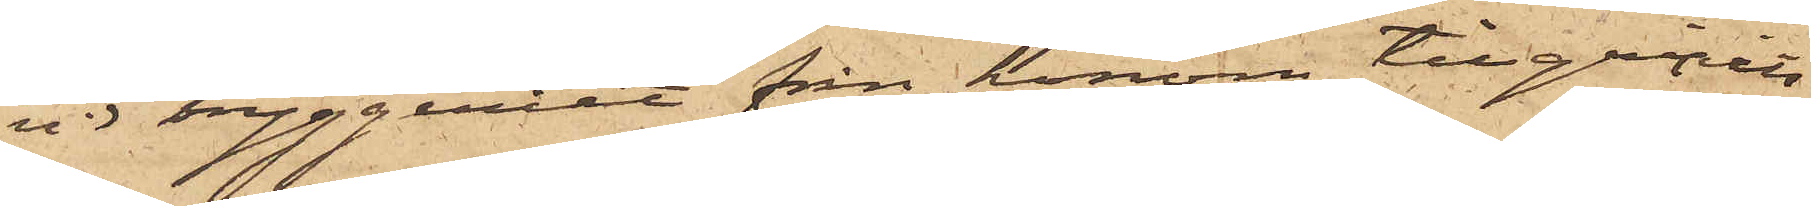å bryggeriet från honom tillgripits
